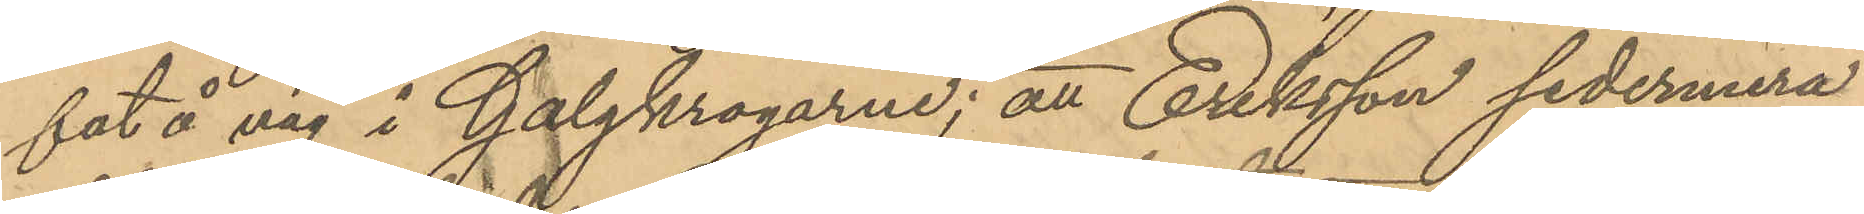fat å väg i Galgkrogarne; att Eriksson sedermera
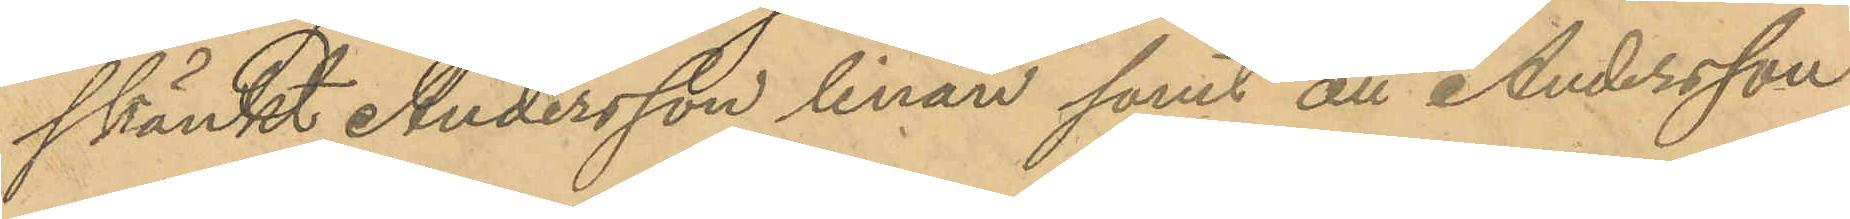skänkt Andersson linan samt att Andersson
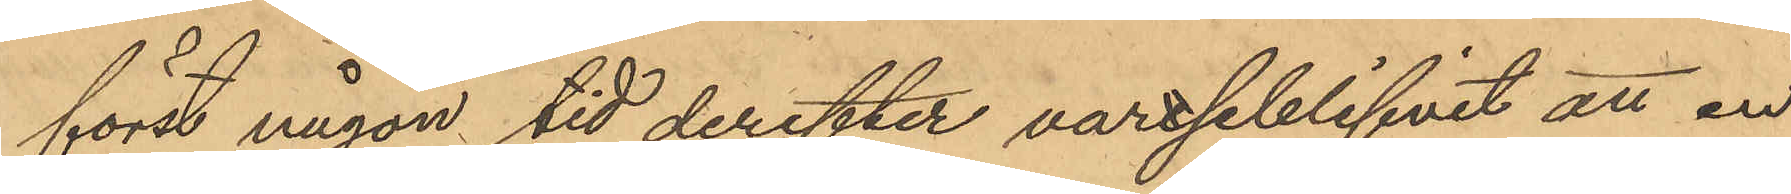först någon tid derefter vardseblifvit att en
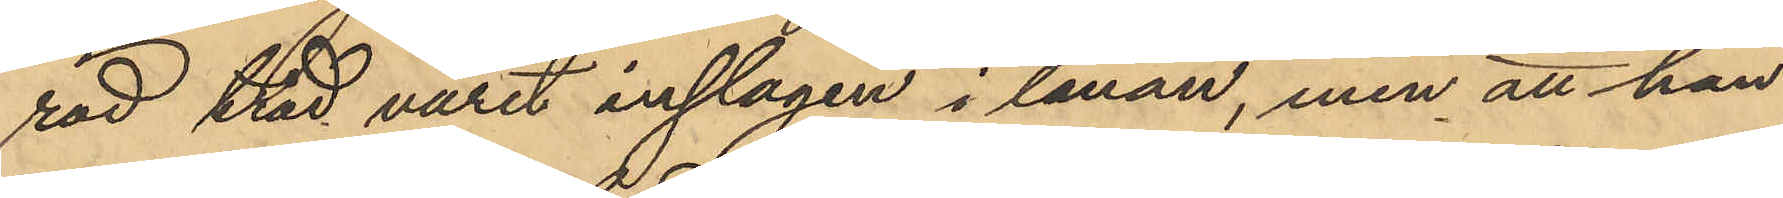röd tråd varit inslagen i linan, men att han
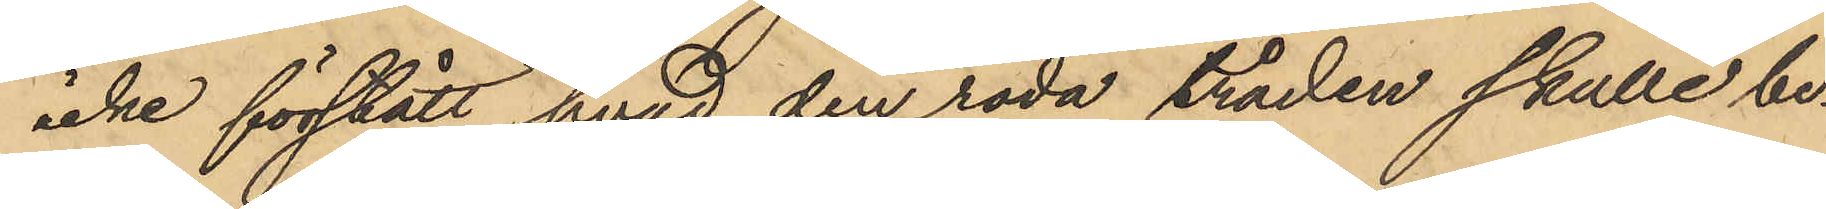icke förstått hvad den röda tråden skulle be¬
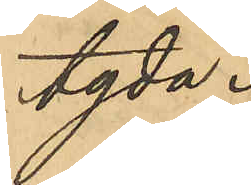tyda.
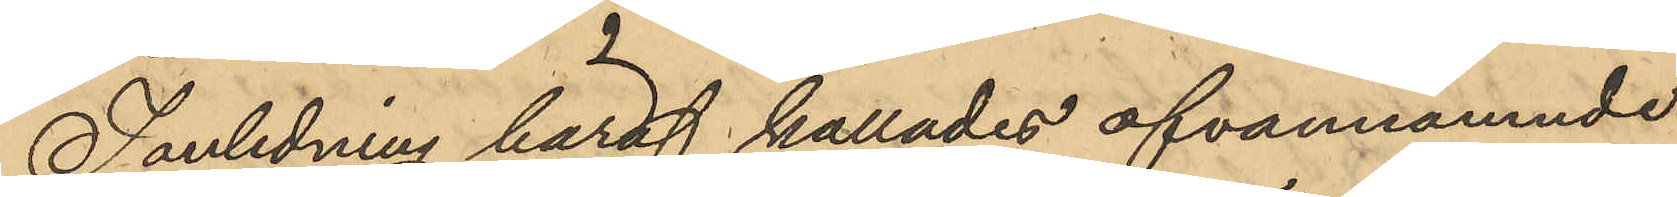I anledning häraf kallades ofvannämnde
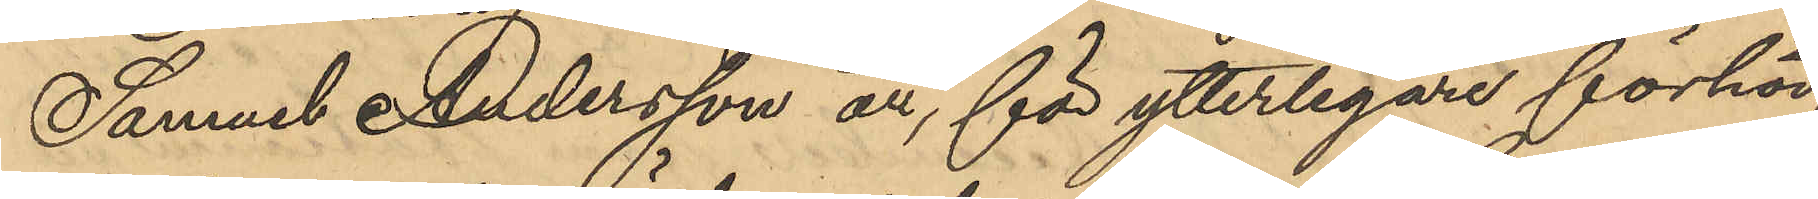Samuel Andersson att, för ytterligare förhör,
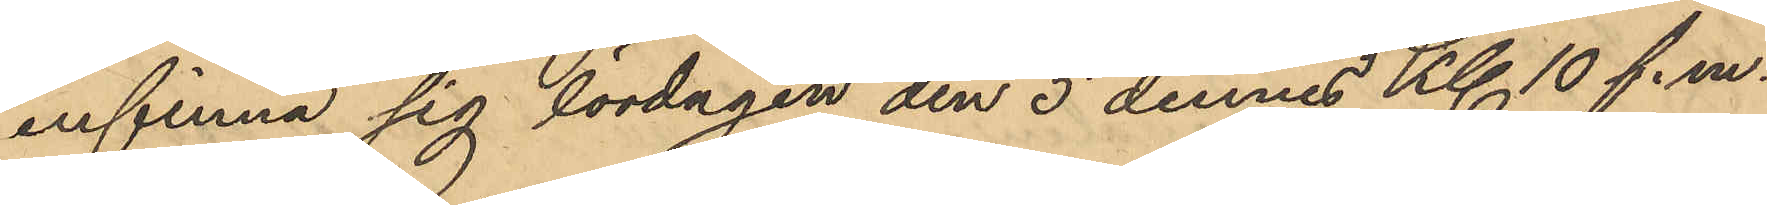infinna sig lördagen den 5 dennes Kl 10 f.m.
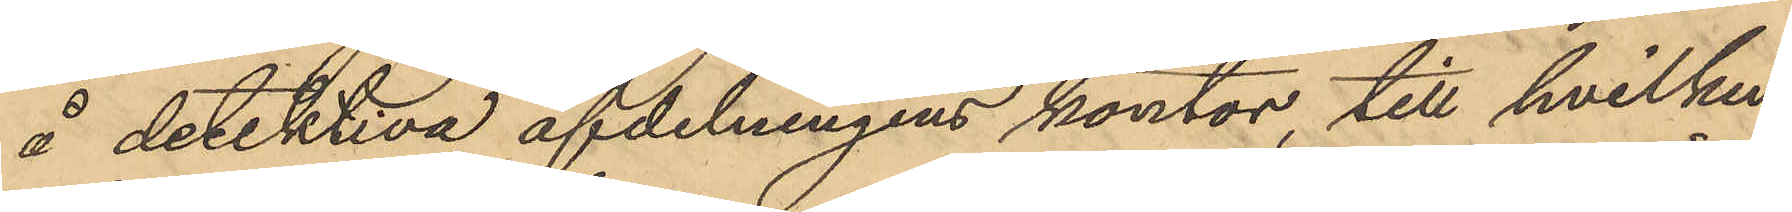å detektiva afdelningens kontor, till hvilken
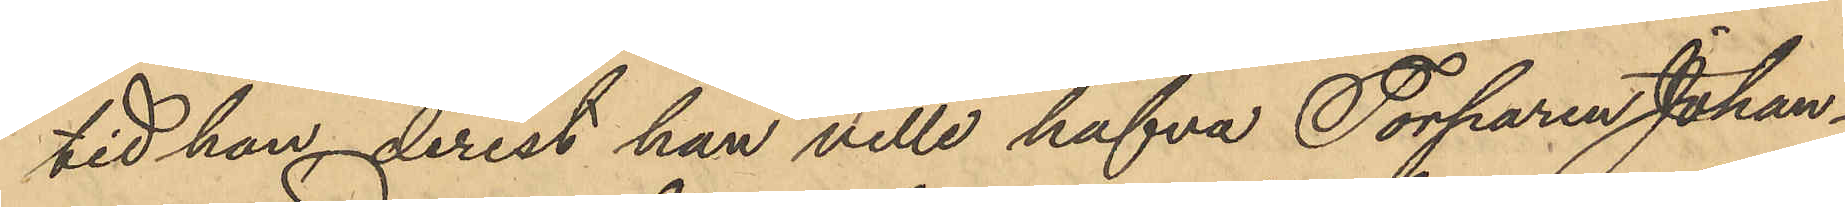tid han, derest han ville hafva Torparen Johan¬
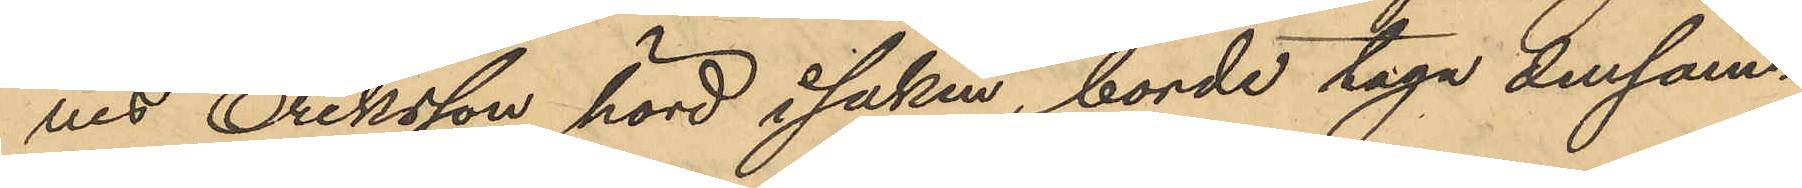nes, Eriksson hörd i saken, borde taga densam¬
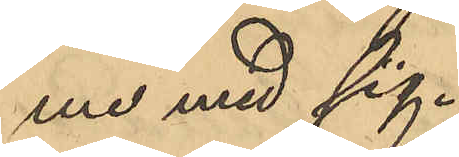me med sig.
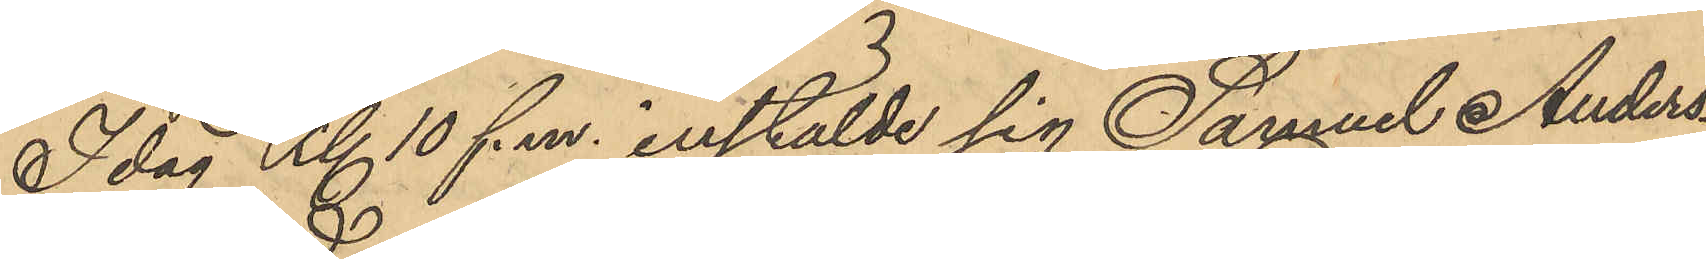Idag Kl 10 f.m. instälde sig Samuel Anders¬
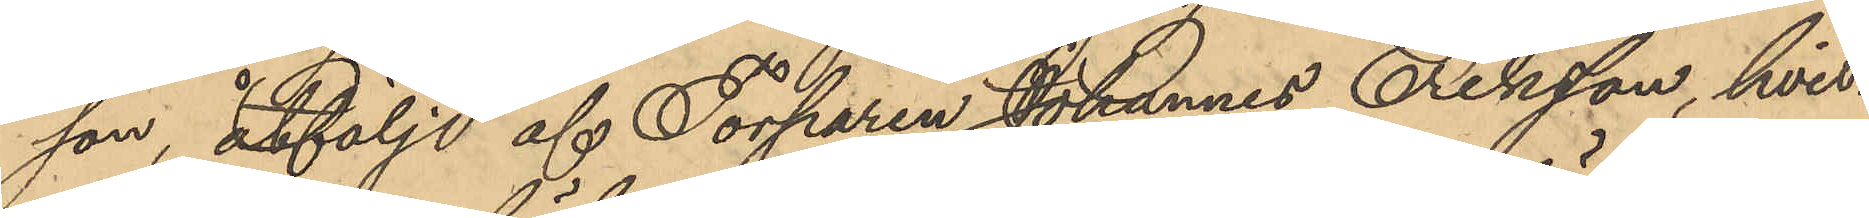son, åtfölje af Torparen Johannes Eriksson, hvil¬
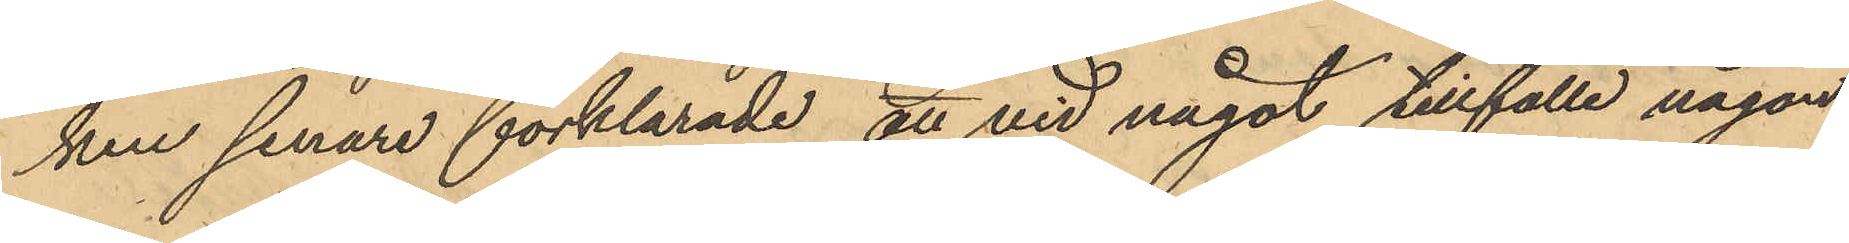ken senare förklarade, att vid något tillfälle någon
